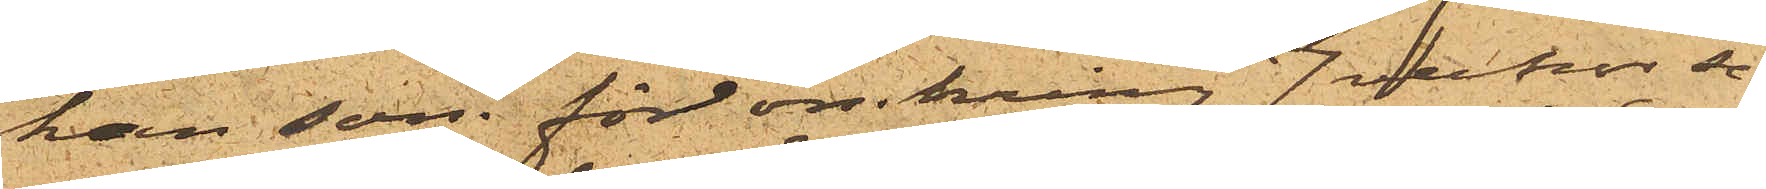han som för omkring 7 veckor se¬
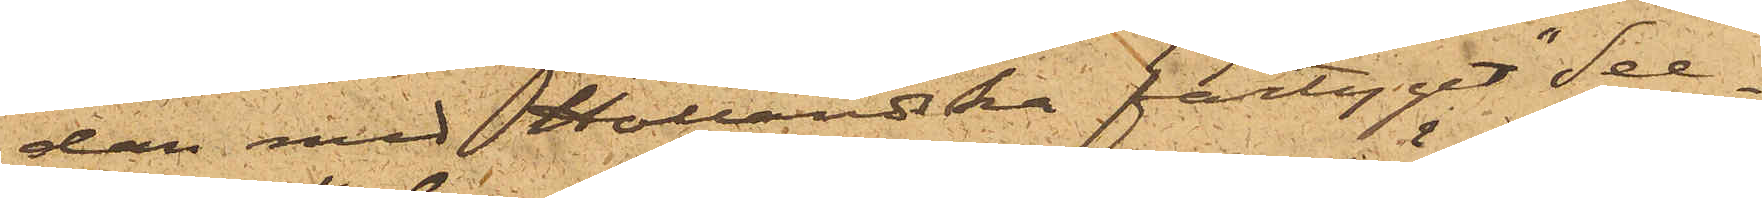dan med Holländska fartyget "See¬
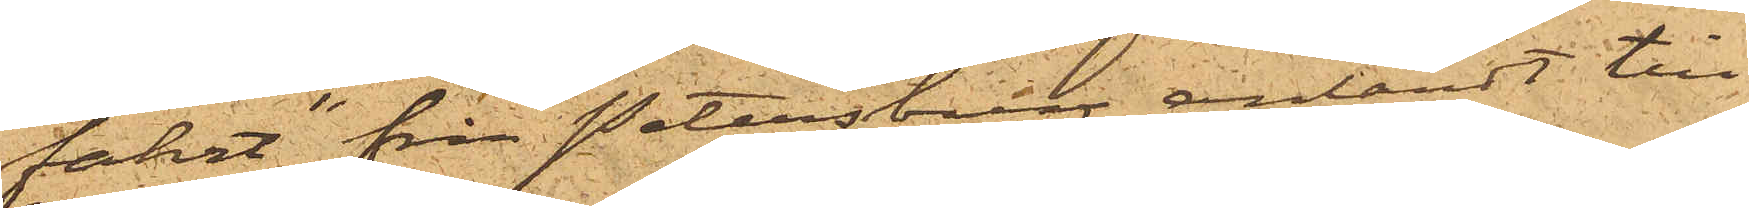fahrt" från Petersburg anländt till
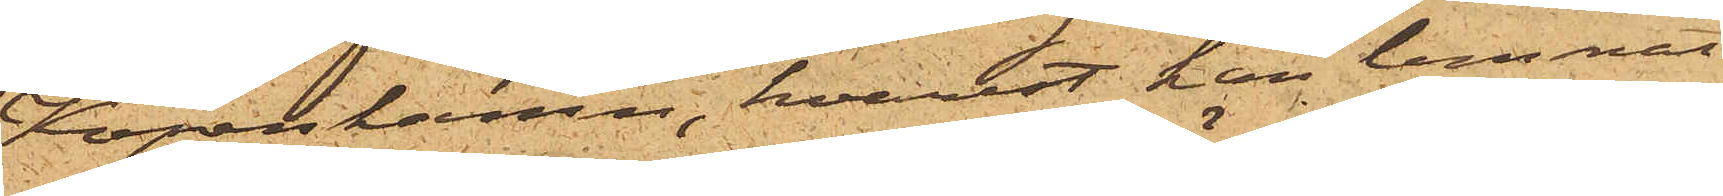Köpenhamn, hvarest han lemnat
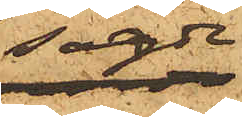sagde
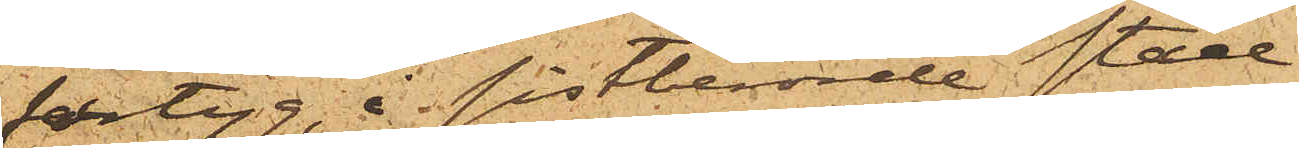fartyg, i sistberörde stad
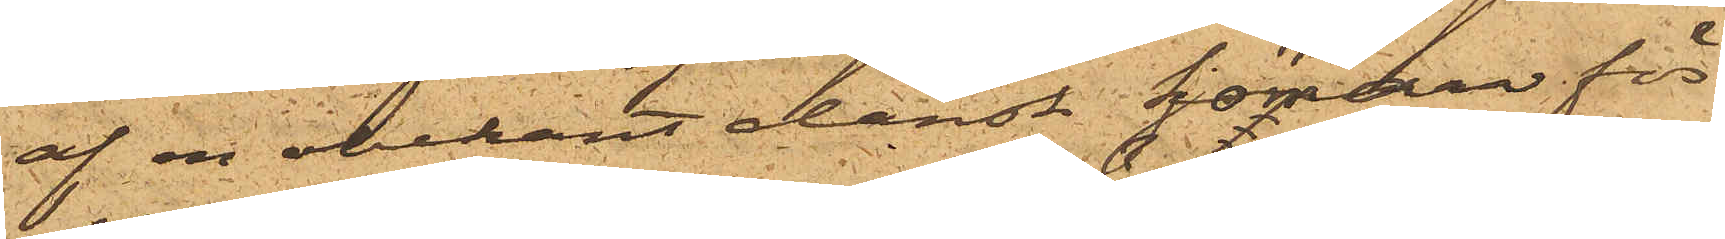af en obekant dansk sjöman för
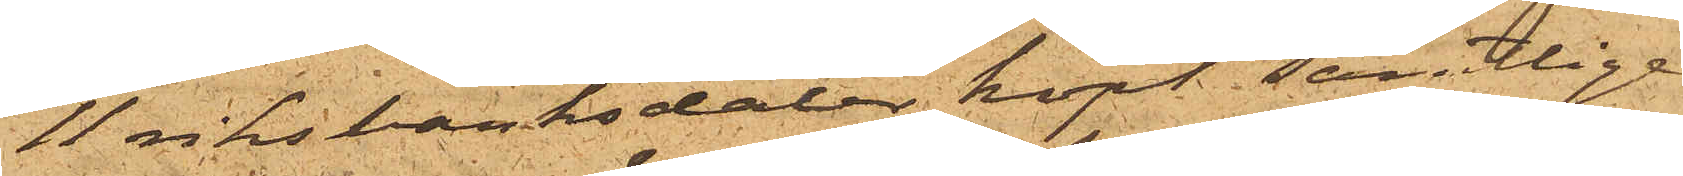11 riksbanksdaler köpt samtlige
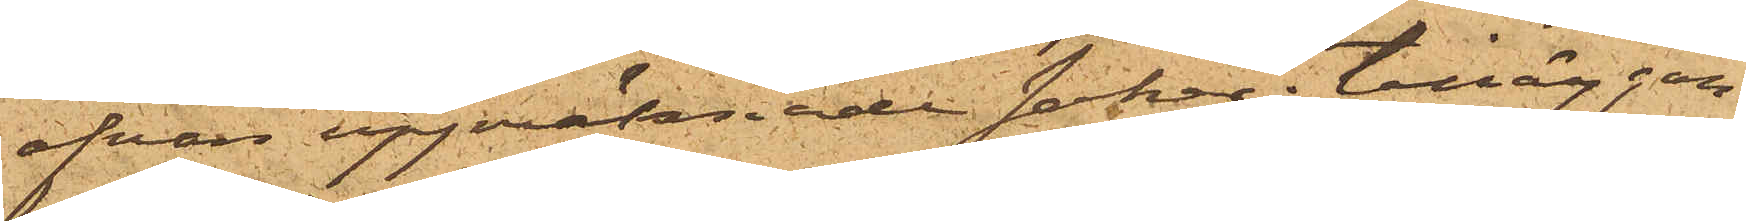ofvan uppräknade saker; tilläggan¬
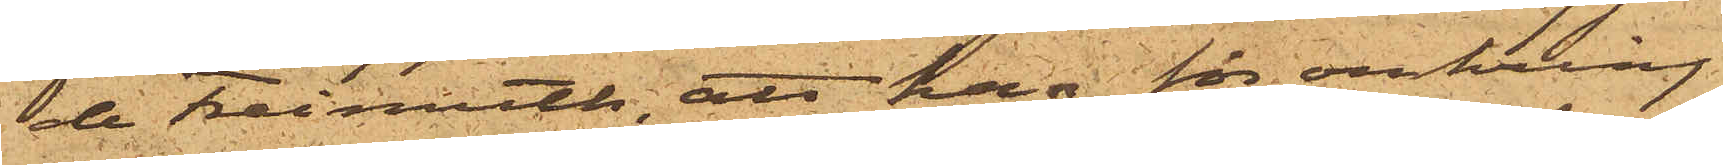de Freimoth, att han för omkring
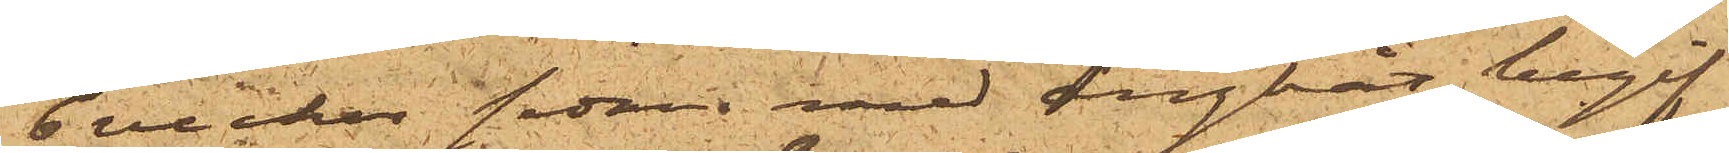6 veckor sedan med ångbåt begif¬
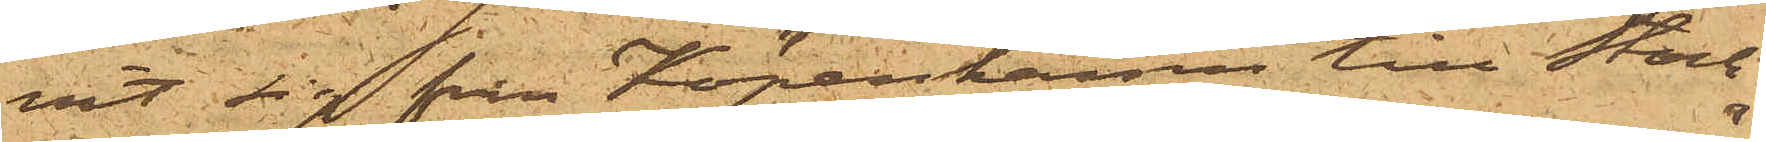vit sig från Köpenhamn till Stock¬
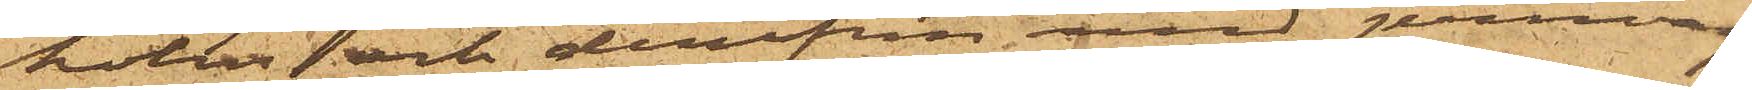holm och derifrån med jernväg
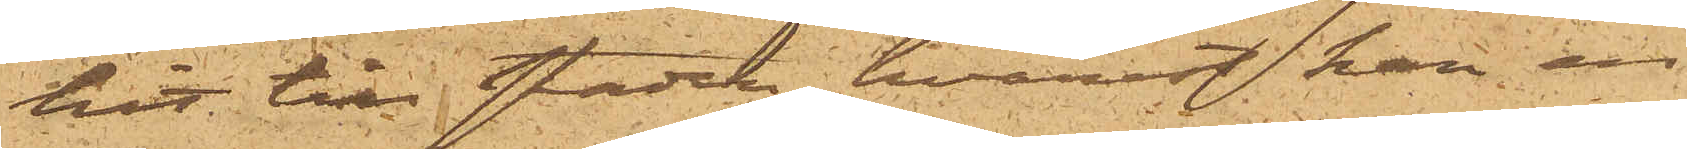hit till staden, hvarest han en
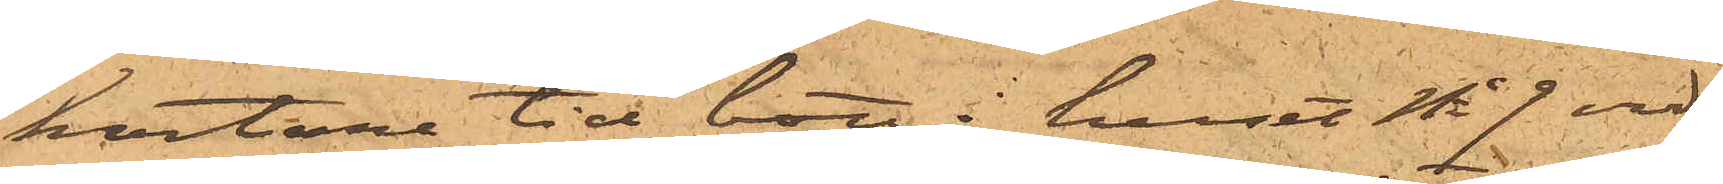kortare tid bott i huset No 7 vid
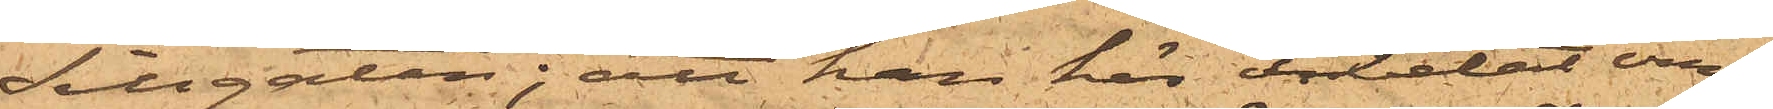Sillgatan; att han här arbetat om¬
